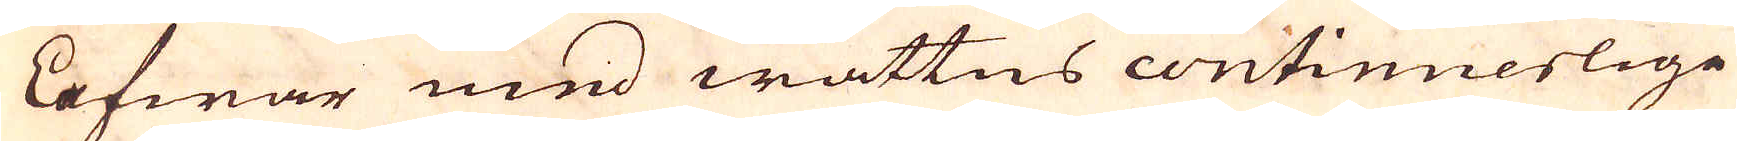lafwar med wattns continuerlige
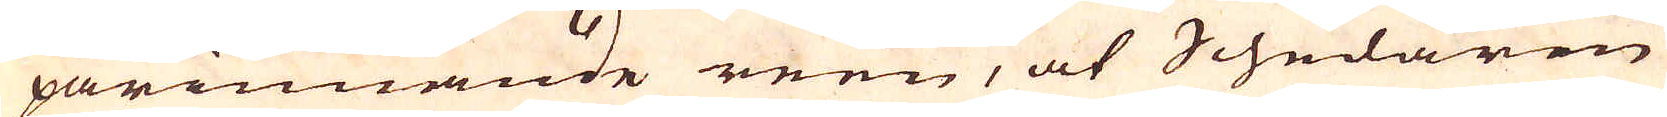pårinnande reen, at Schedaren
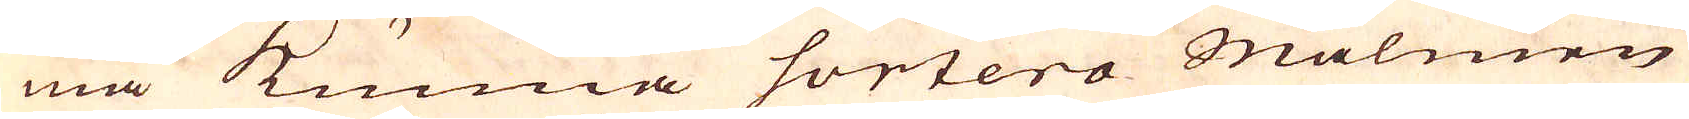må kunna sortera Malmen
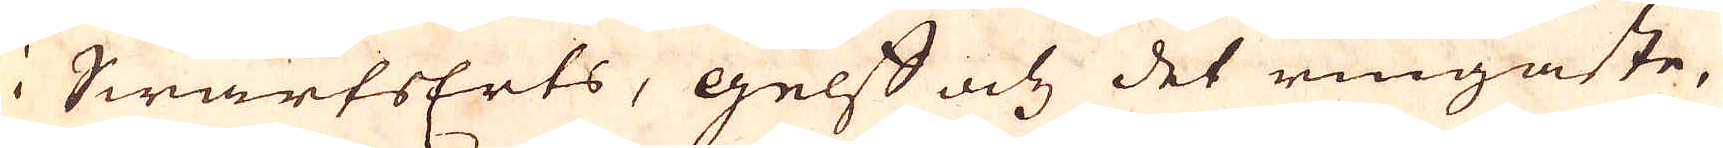i SwartsErts, gelff och det ringaste,
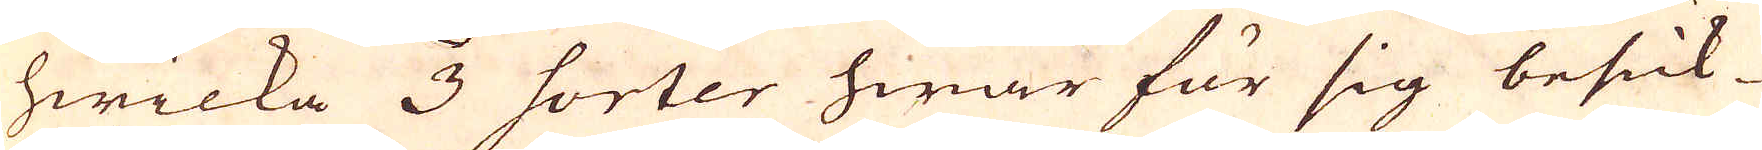hwilka 3 sorter hwar för sig besick-
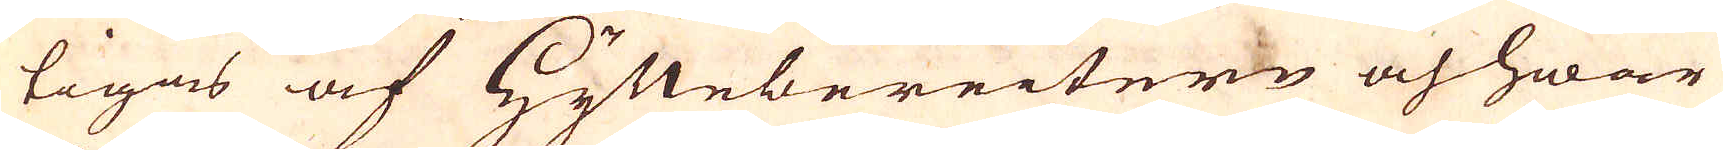tigas af Hyttebereitern och hwar
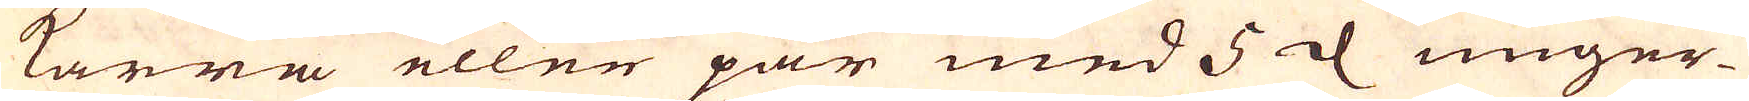kärra eller par med 5 d unger-
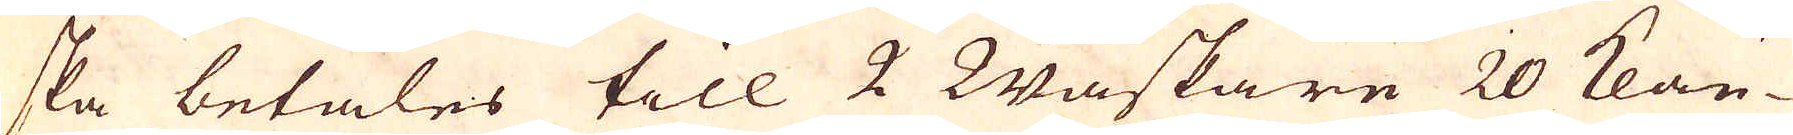ska betales till 2 Waskare 20 Klau-
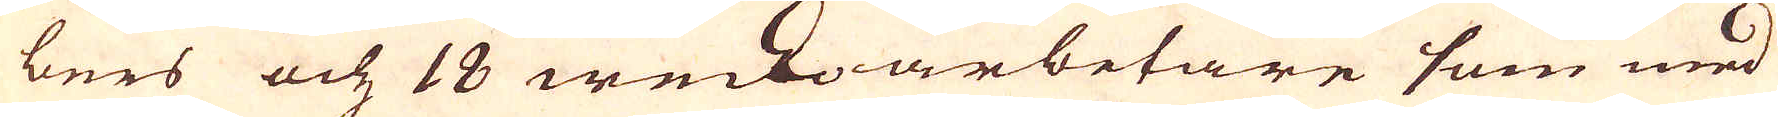bers och 18 weckoarbetare som med
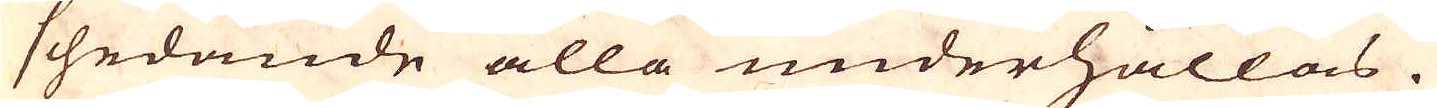schedande alla underhållas.
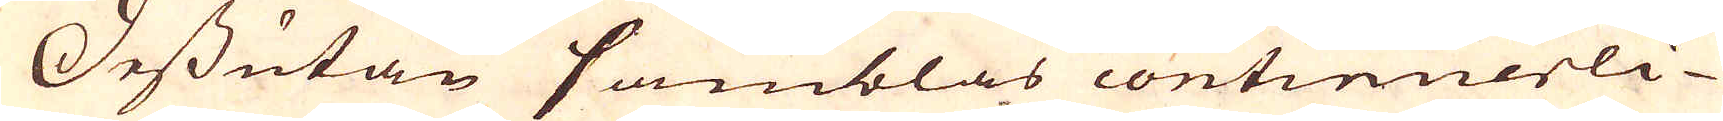Dessutan samblas continuerli-
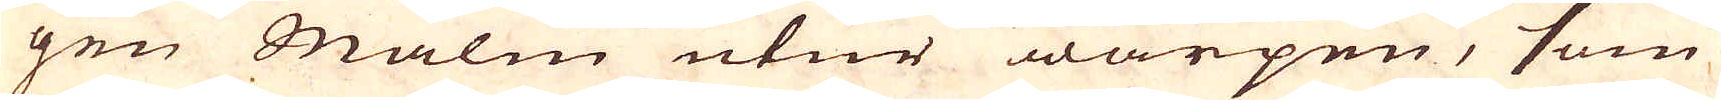gen Malm utur warpen, som
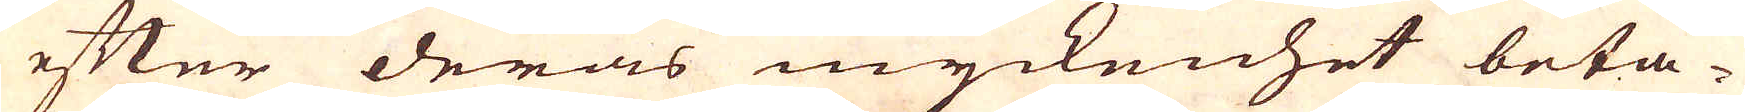efter deras myckenhet beta-
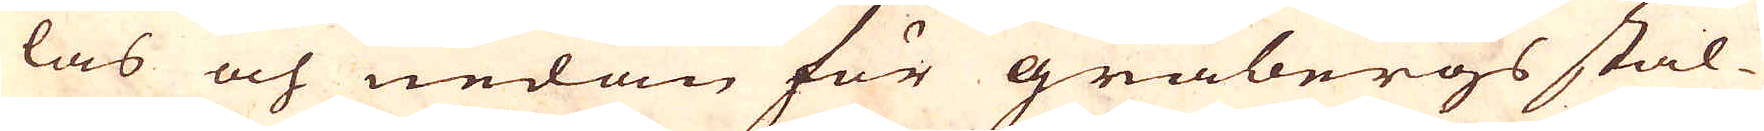las och nedan för gråbergs stal-
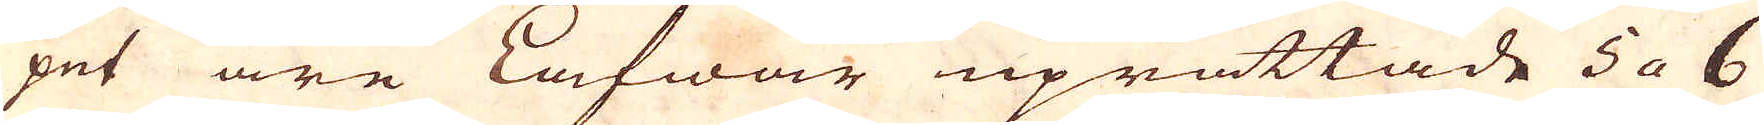pet äre Lafwar uprättade 5 a 6
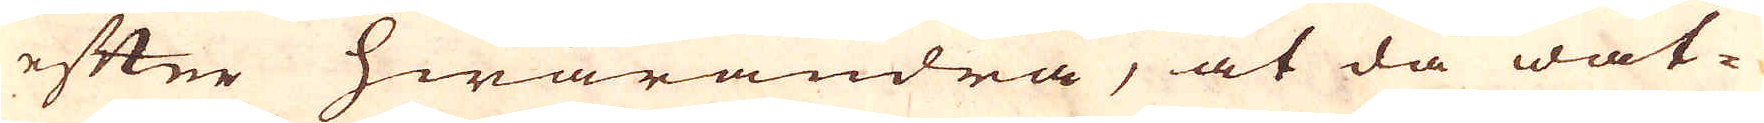efter hwarandra, at då wat-
